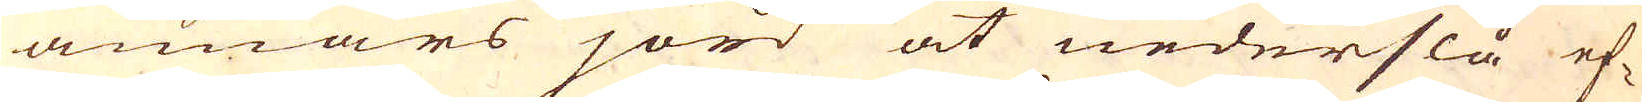annars jord at nederslå ef-
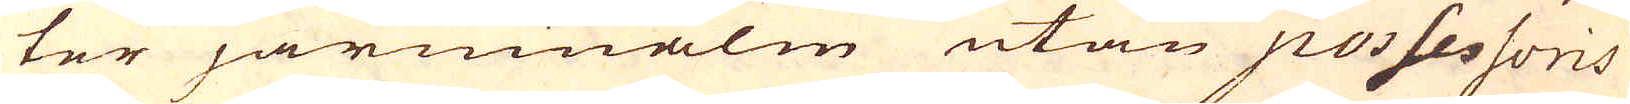ter järnnmalm utan possessoris
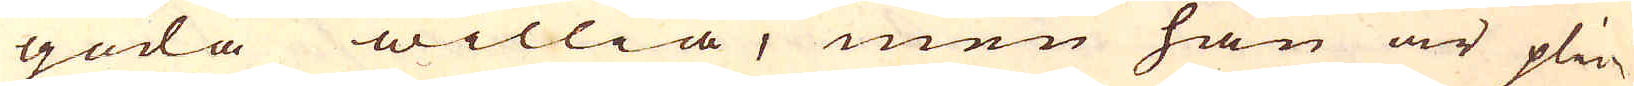goda willia, men han är plick-
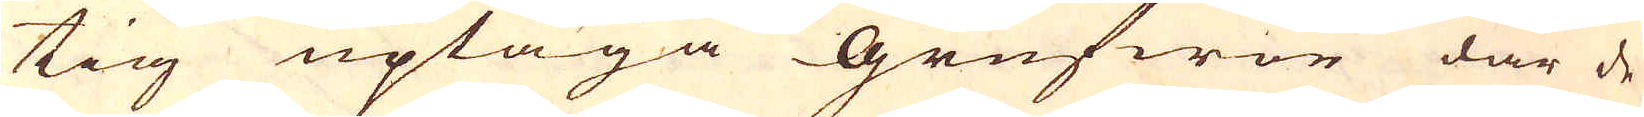tig uptaga Grufwor där de
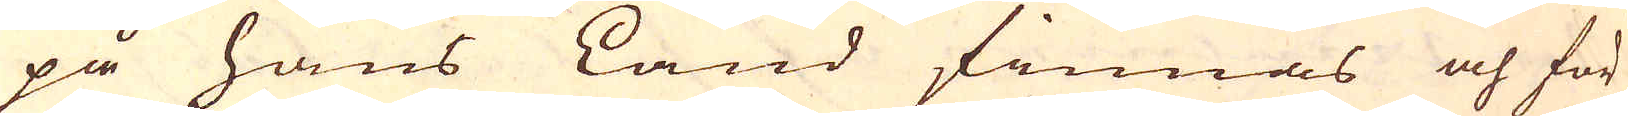på hans Land finnas och för
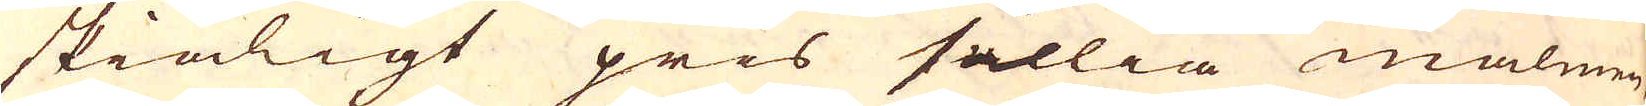skiäligt pris sällia malmen
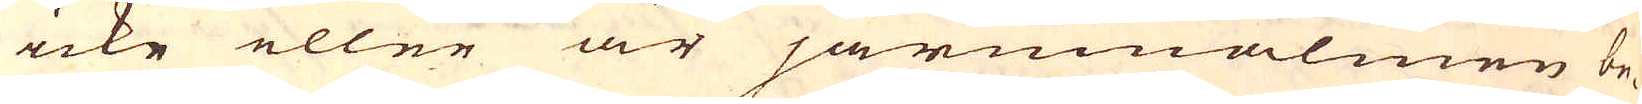icke eller är järnmalmen be-
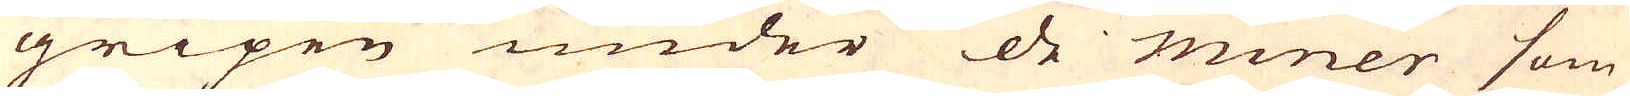gripen under de miner som
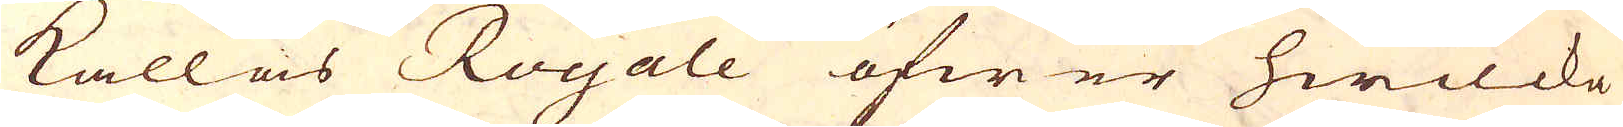kallas Royale öfwer hwilcka
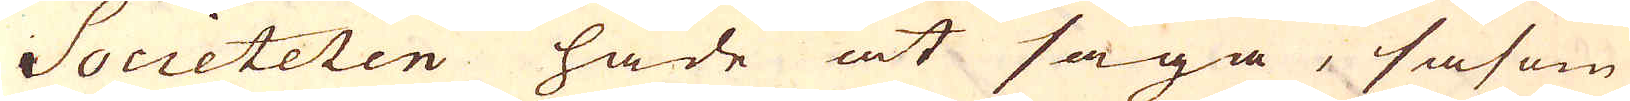Societeten hade at säga, såsom
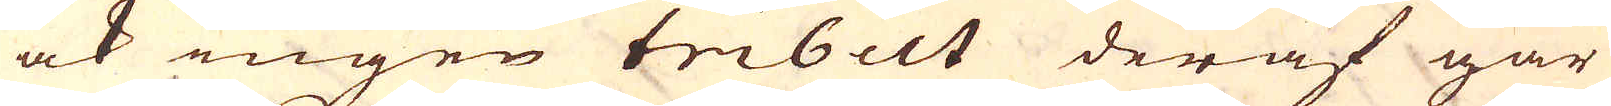ock ingen tibut deraf går
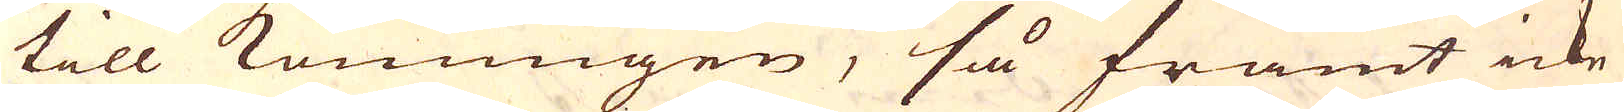till konungen, så framt icke
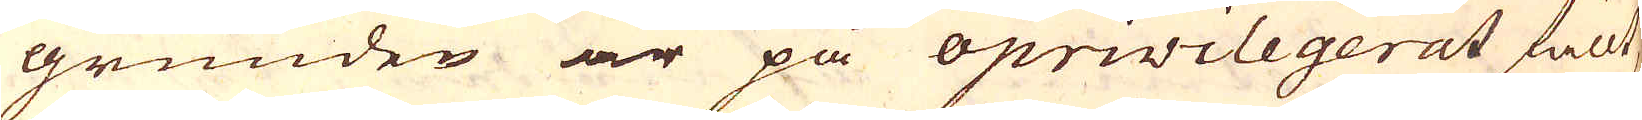grunden är på oprivilegerat fällt,
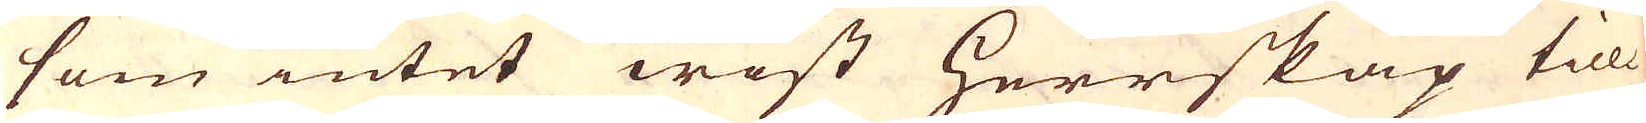som intet wist Herrskap till-
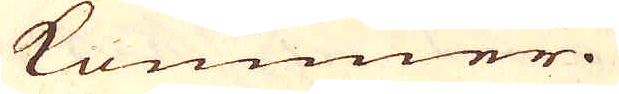kommer.
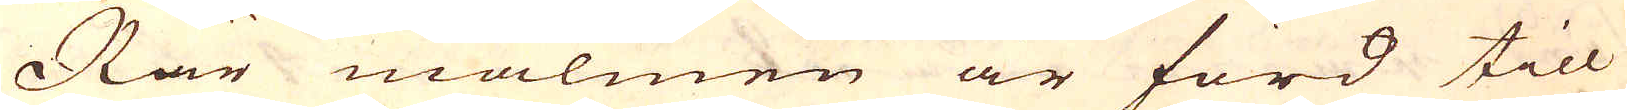När malmen är förd till
